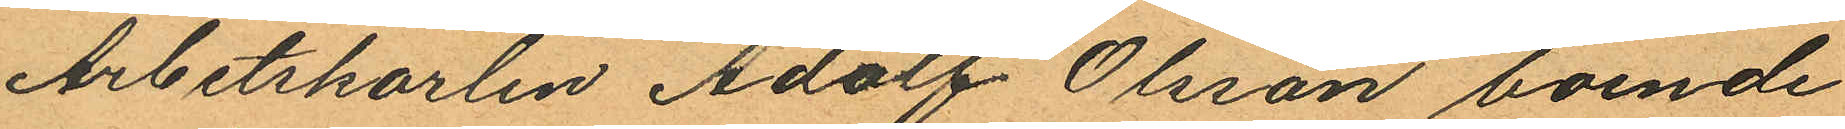Arbetskarlen Adolf Olsson boende
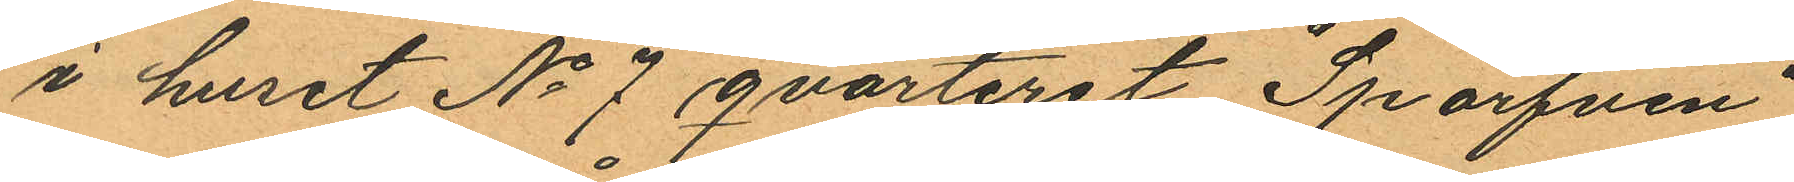i huset No 7 qvarteret "Sparfven"
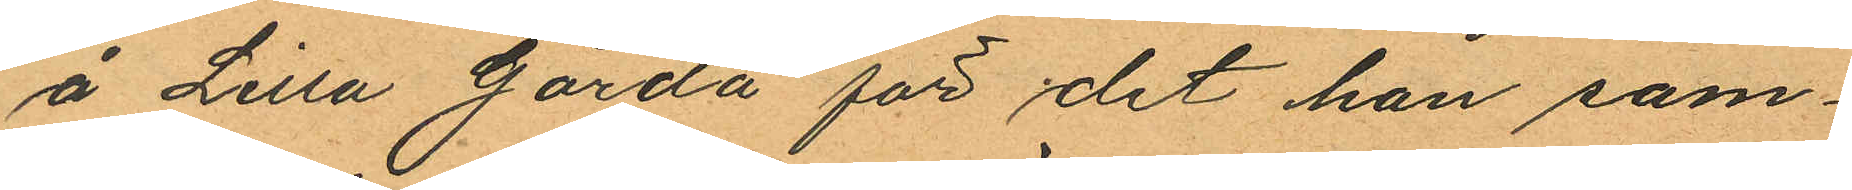å Lilla Gårda för det han sam¬
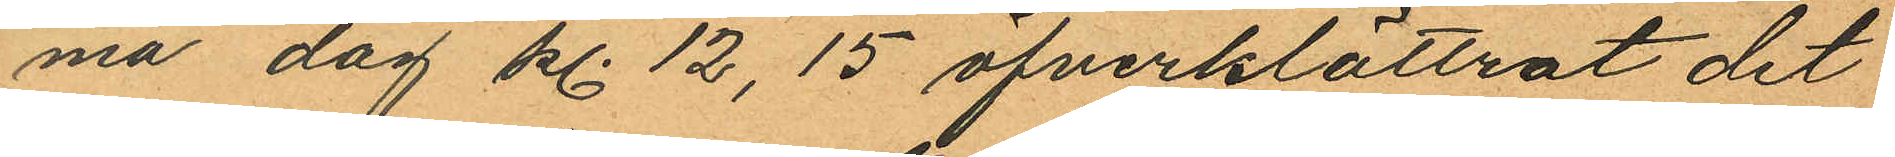ma dag kl. 12,15 öfverklättrat det
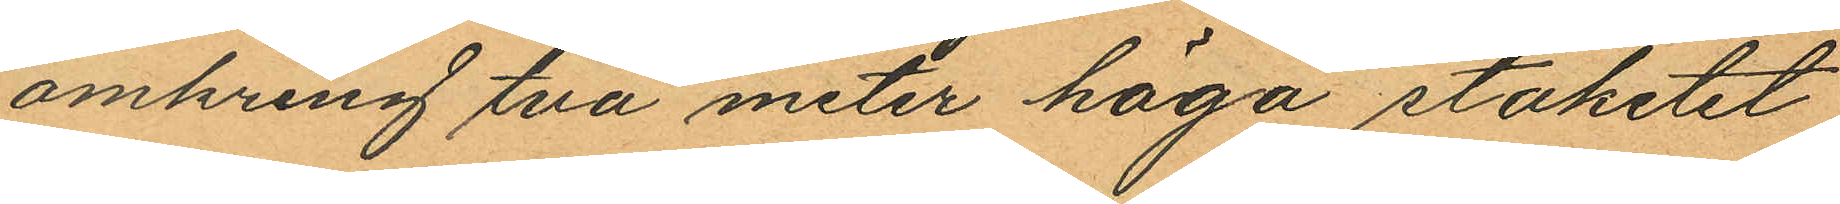omkring två meter höga staketet
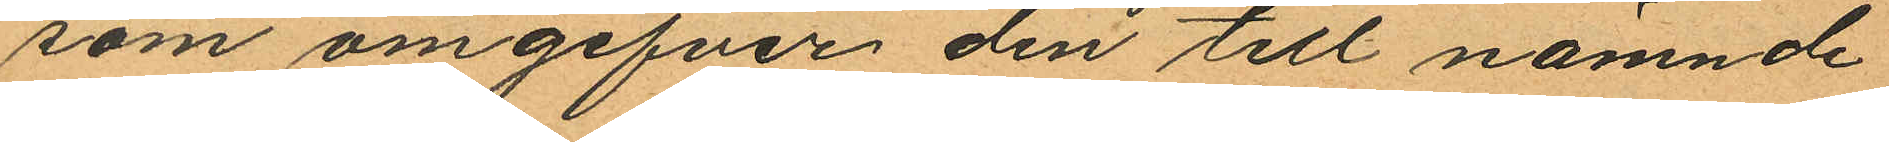som omgifver den till nämnde
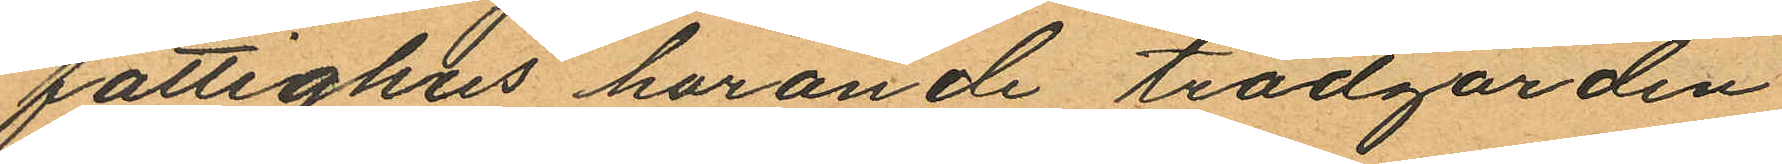fattighus hörande trädgården
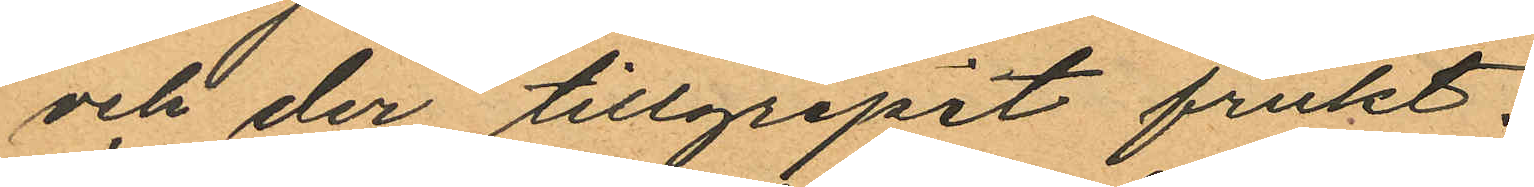och der tillgripit frukt.
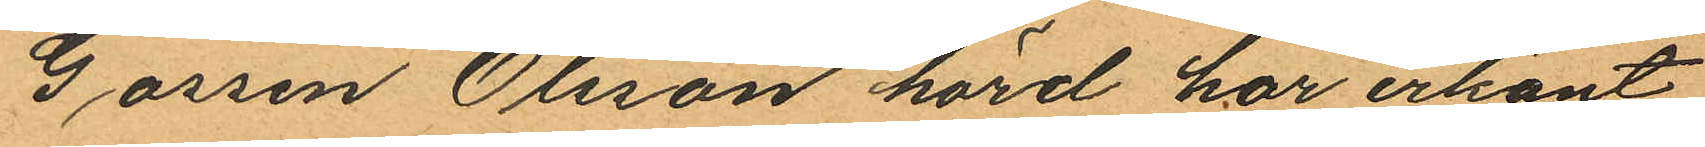Gössen Olsson hörd har erkänt
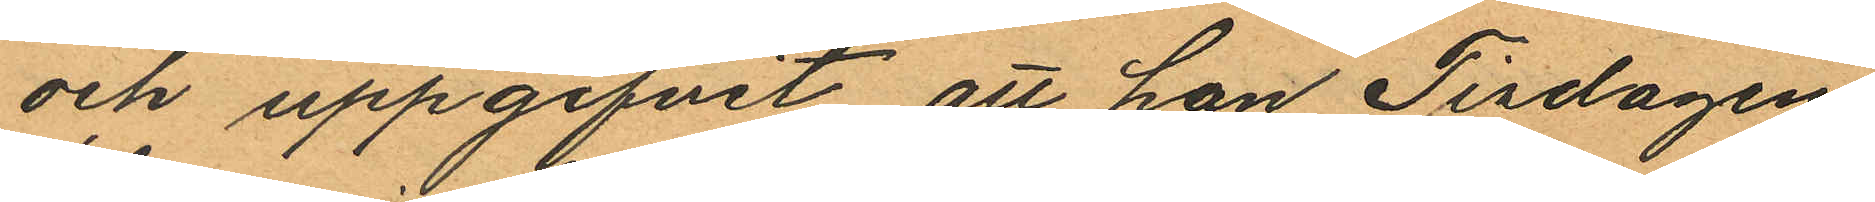och uppgifvit att han Tisdagen
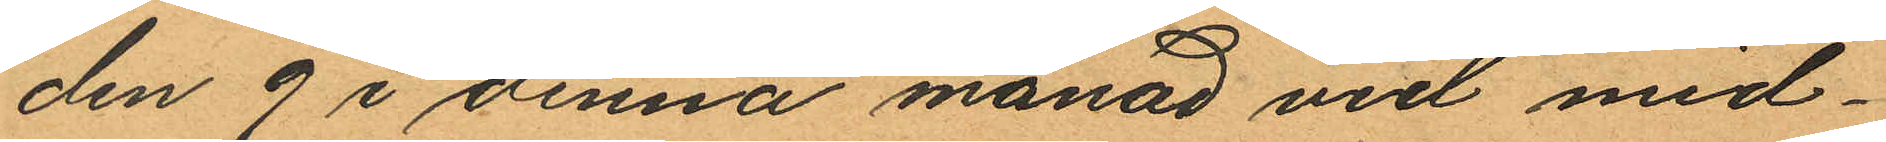den 9 i denna månad vid mid¬
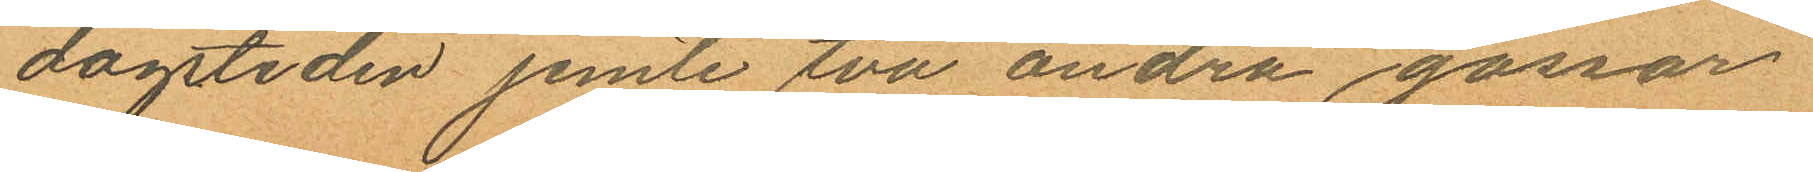dagstiden jemte två andra gossar
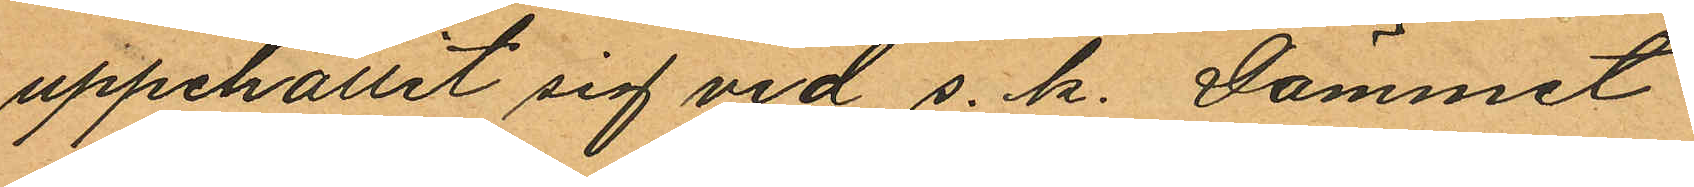uppehållit sig vid s. k. Dämmet
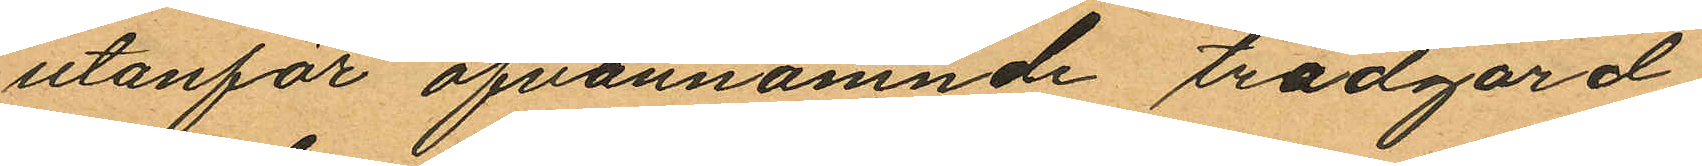utanför ofvannämnde trädgård,
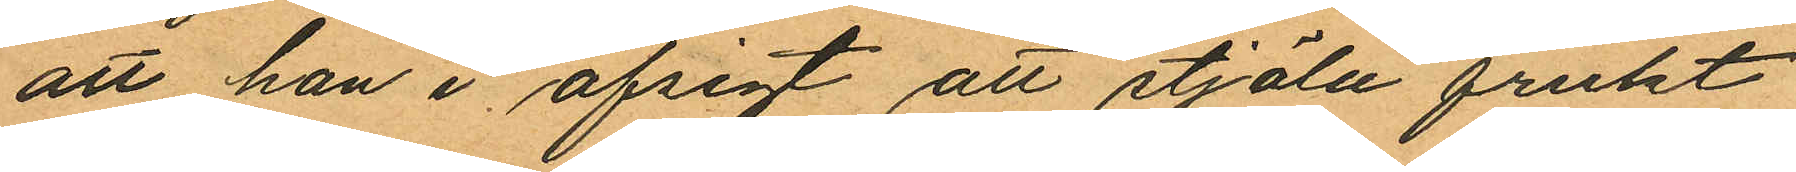att han i afsigt att stjäla frukt
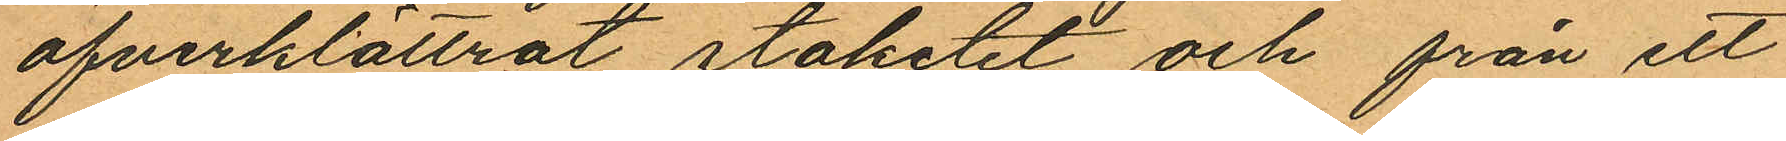öfverklättrat staketet och från ett
